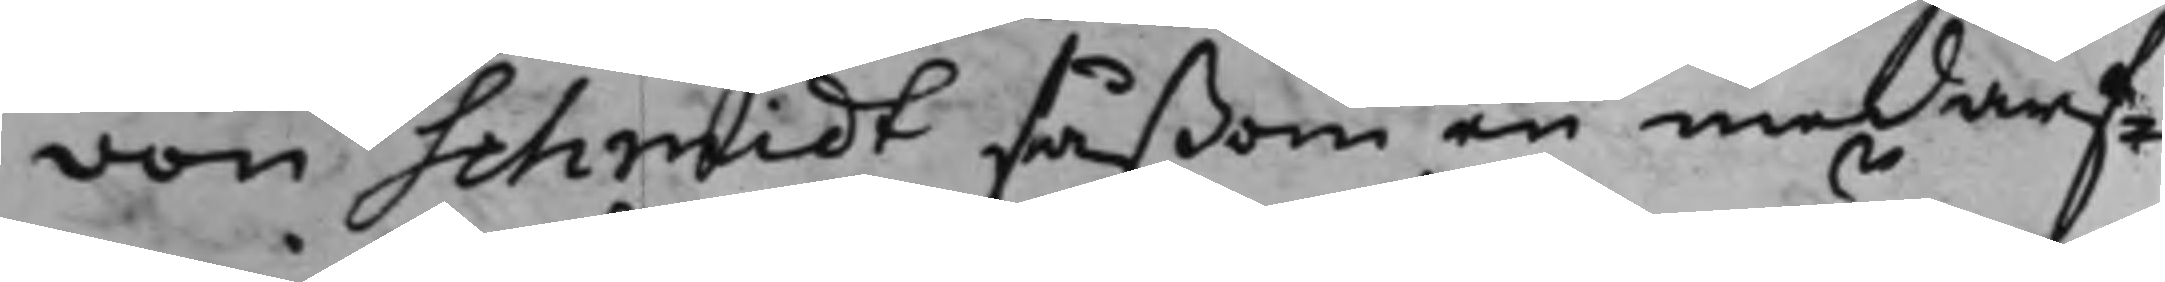von Schmidt såßom en medarf¬
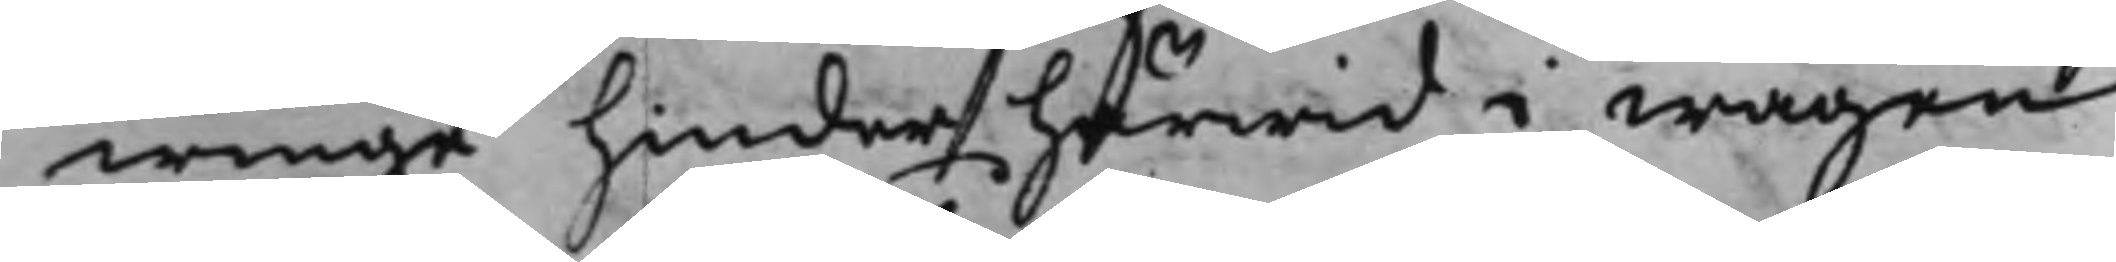winge hinder härwid i wägen
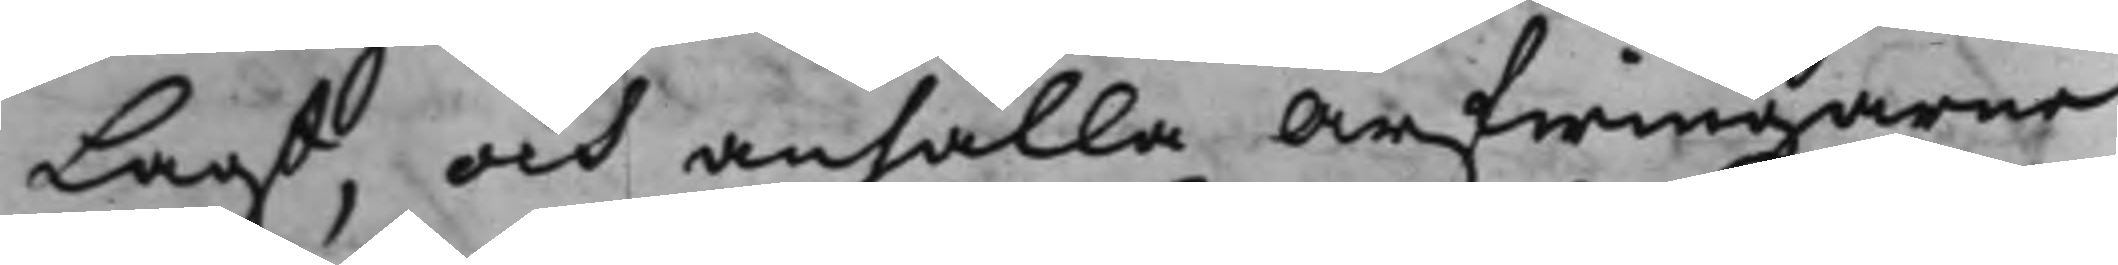Lagt, och anhålla Arfwingarne
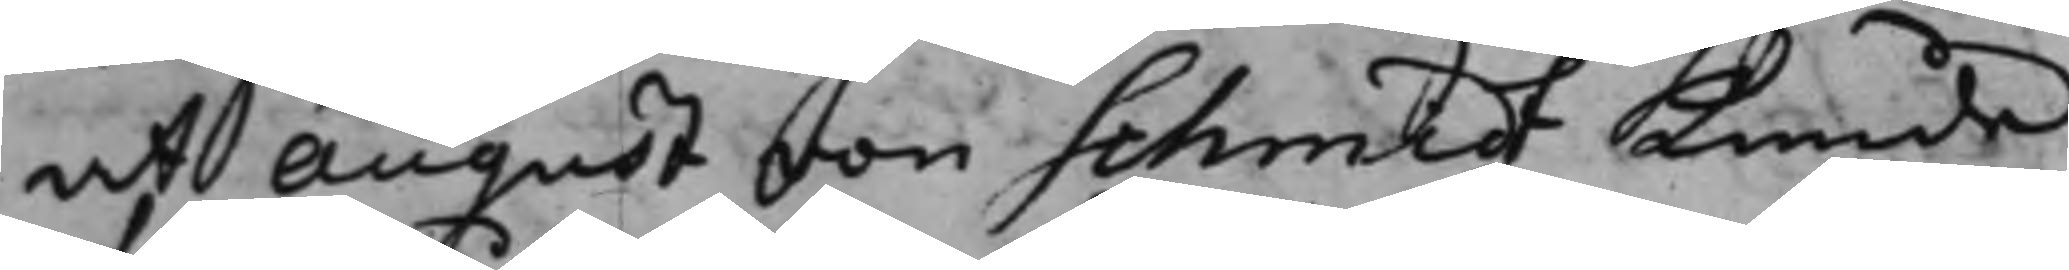at August von Schmidt Kunde
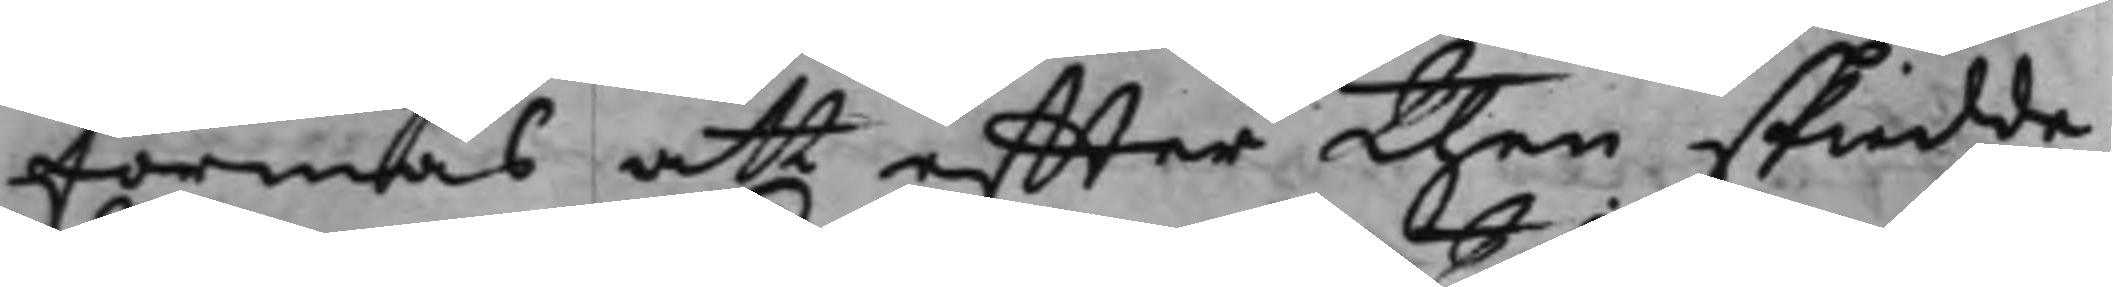förmås att effter then skiedde
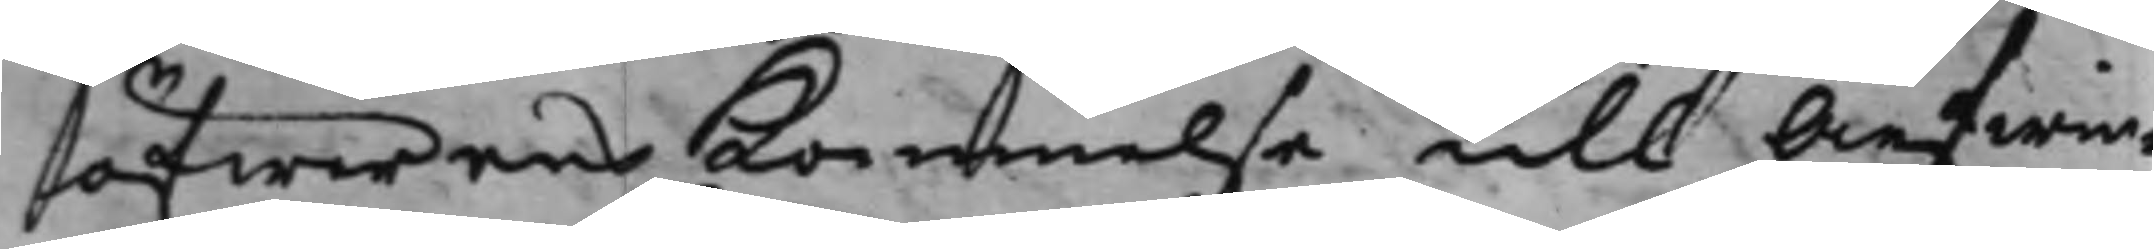öfwerenskommelse, till Arfwin¬
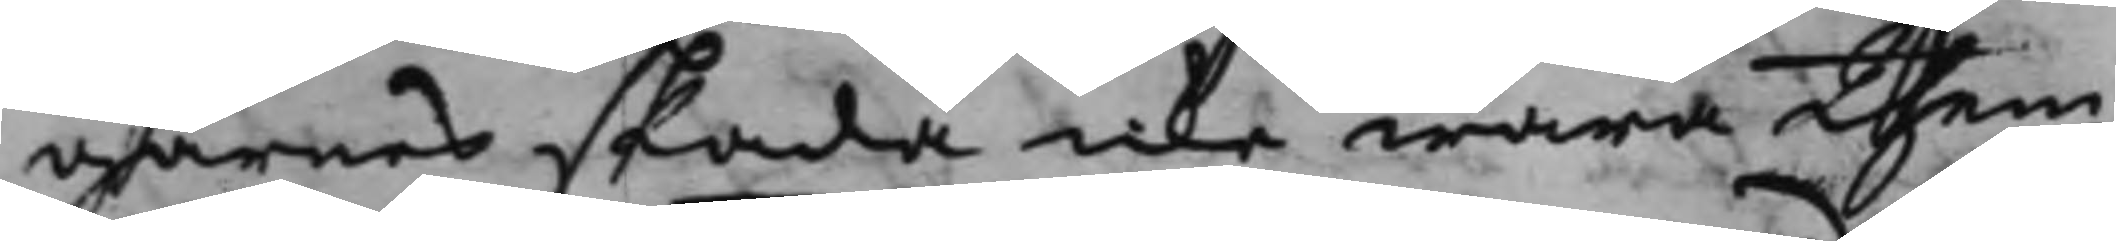garnes skada icke wara them
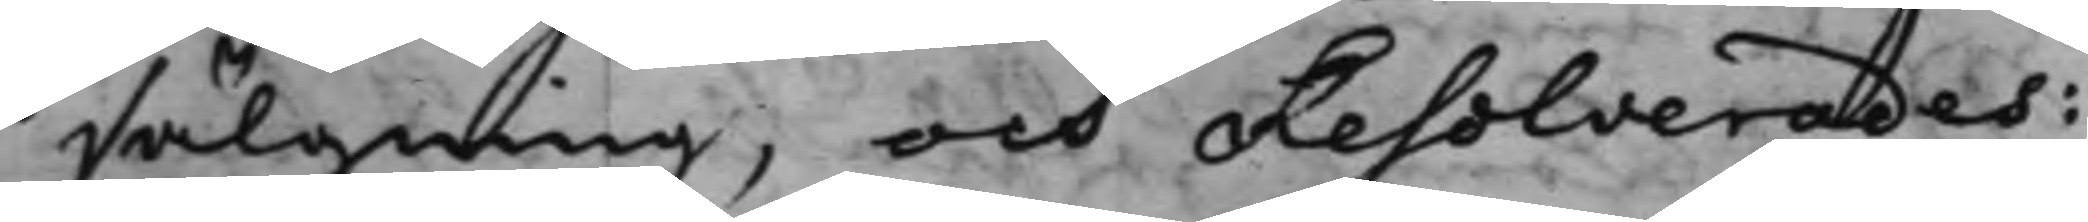sälgning, och Resolverades:
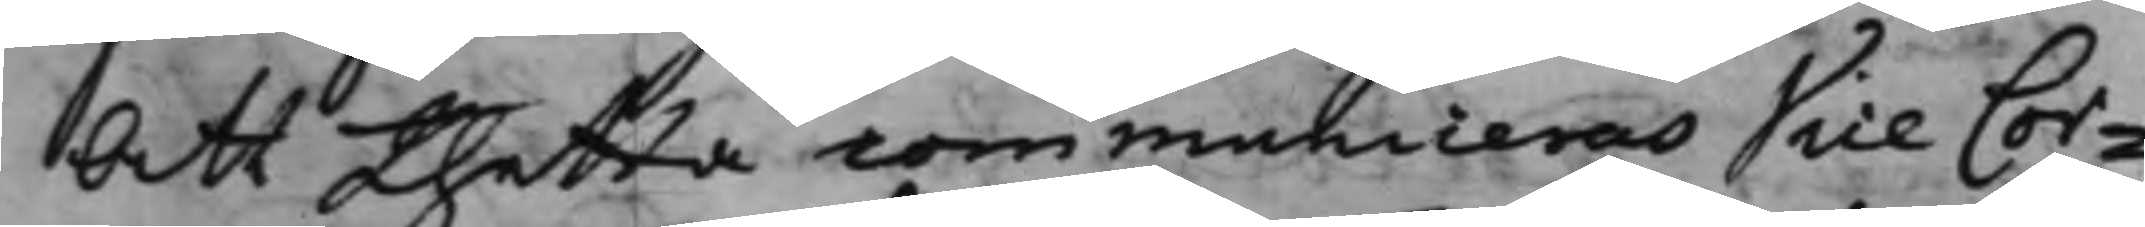Att thetta communiceras Vice Cor¬
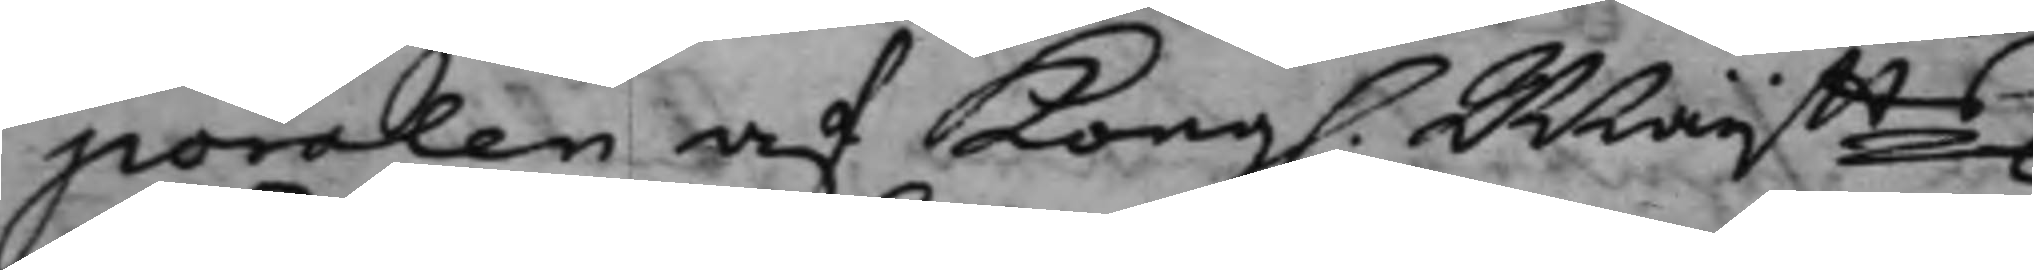poralen af Kong. Maijtts
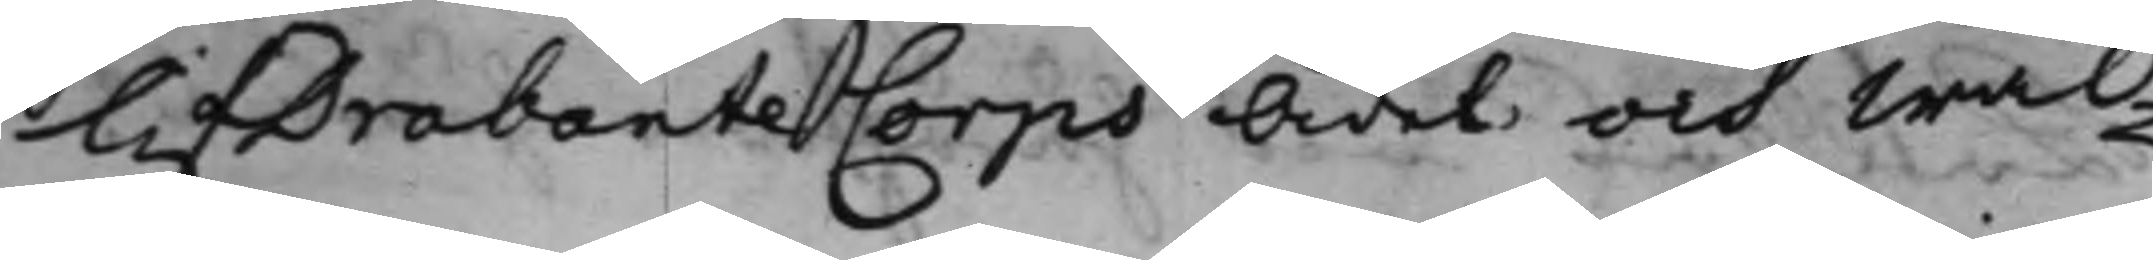LifDrabante Corps Ädel och Wäl¬
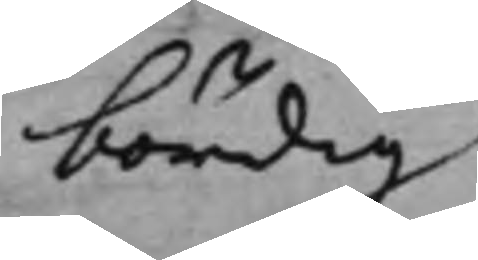bördig
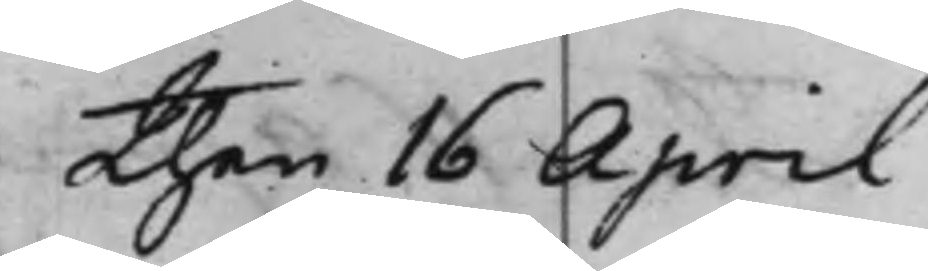Then 16 April
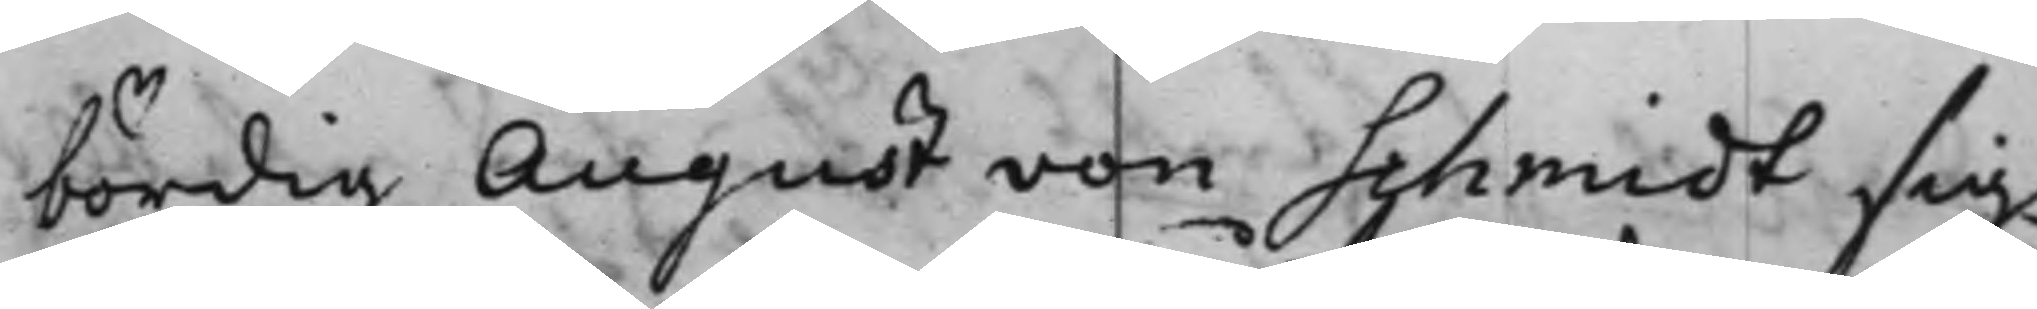bördig August von Schmidt sig
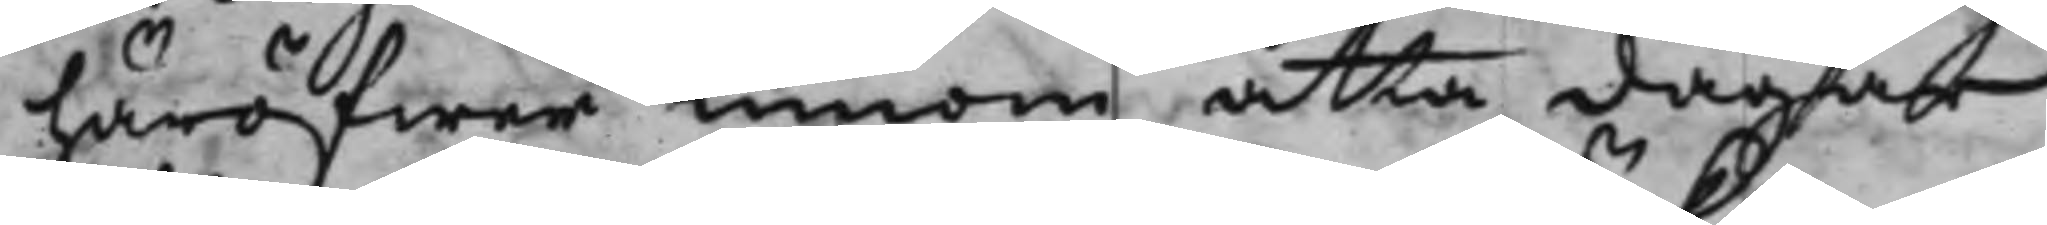häröfwer innom åtta dagar
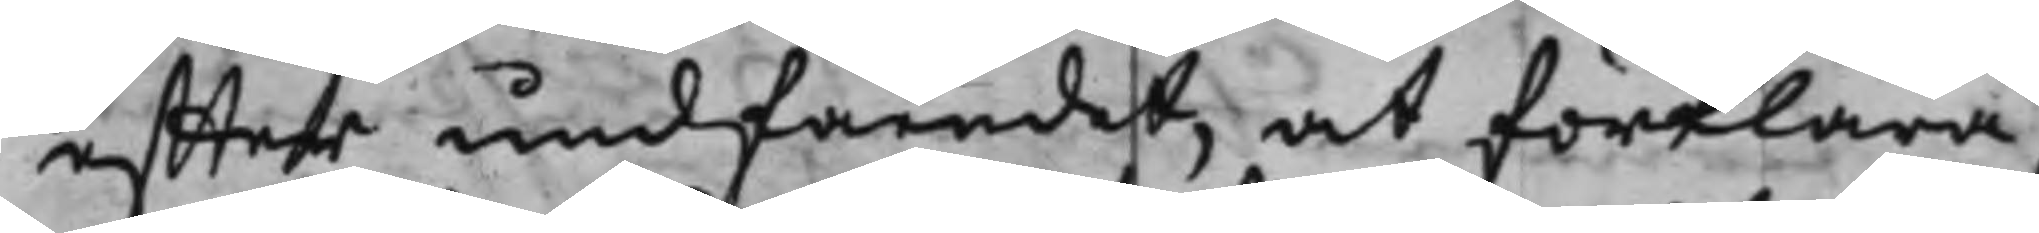effter undfåendet, at förklara,
